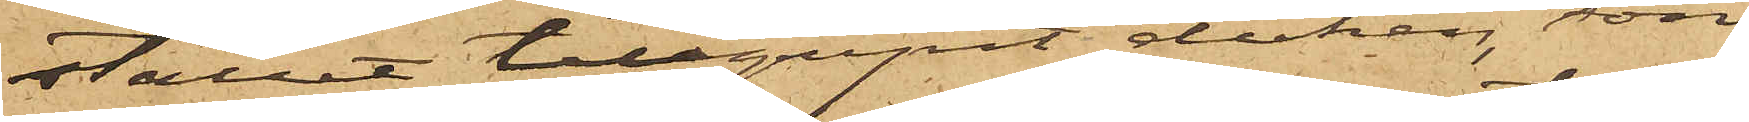stället tillgripit duken, som
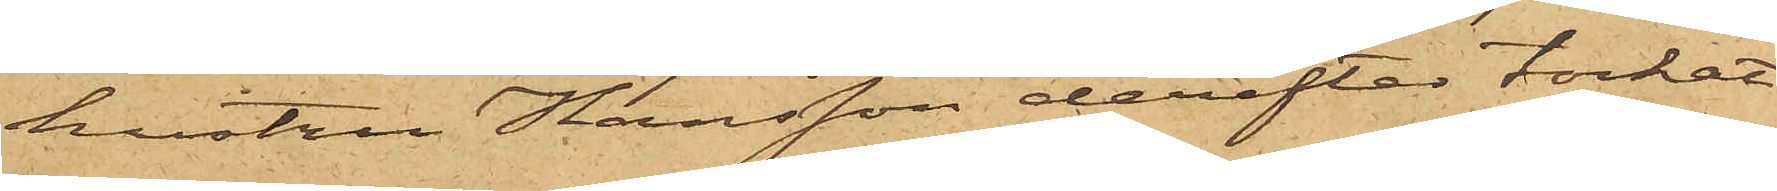hustru Hansson derefter torkat
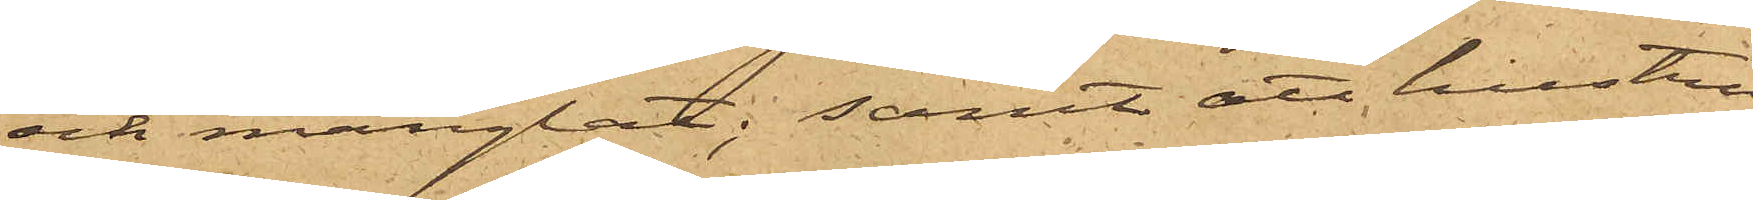och manglat; samt att hustru
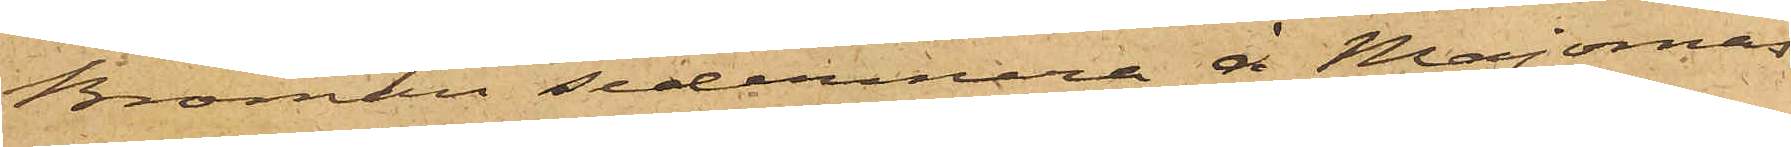Broman sedermera å Majornas
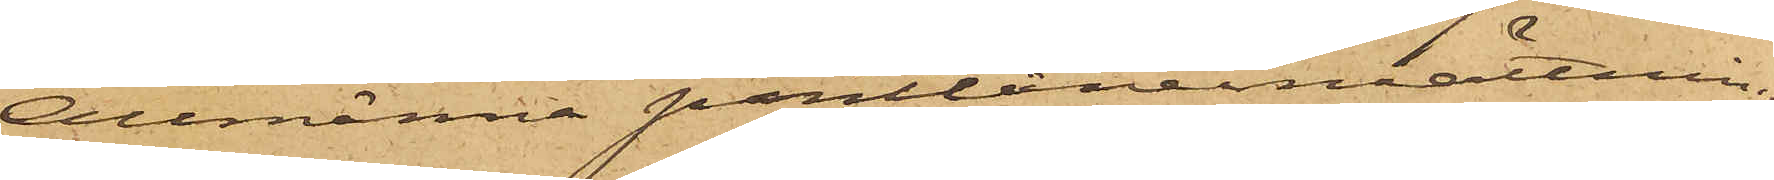Allmänna pantlåneinrättning
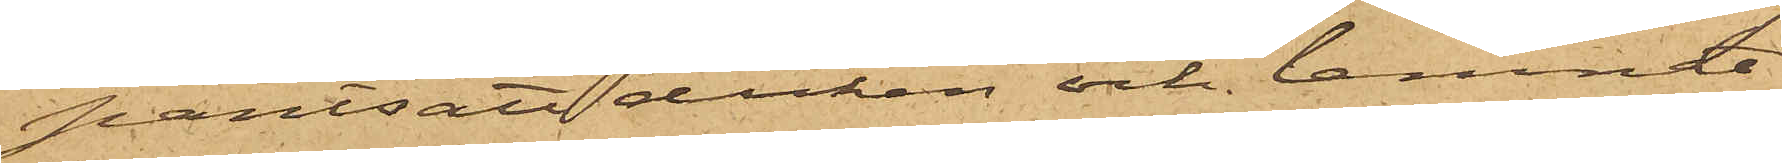pantsatt duken och lemnat
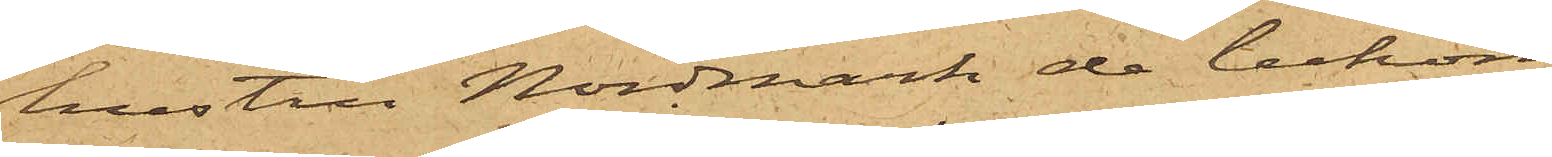hustru Nordmark de bekomne
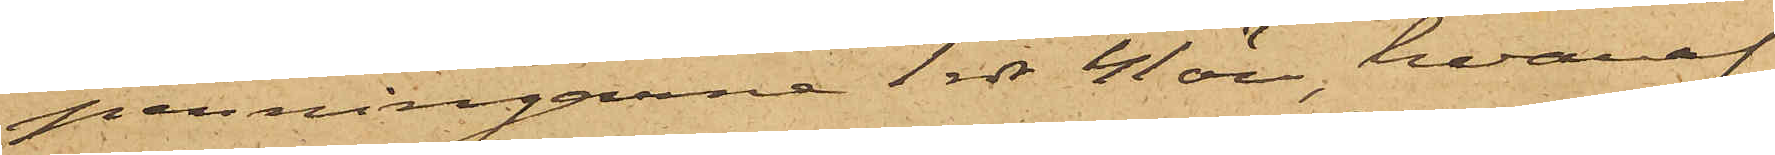penningarne 1 rdr 41 öre, hvaraf
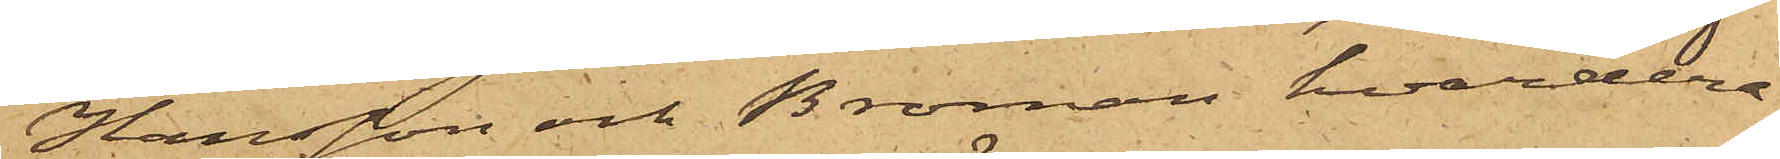Hansson och Broman hvardera
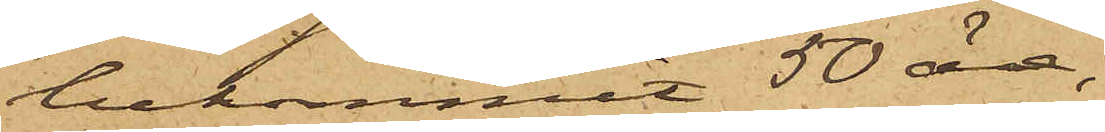bekommit 50 öre;
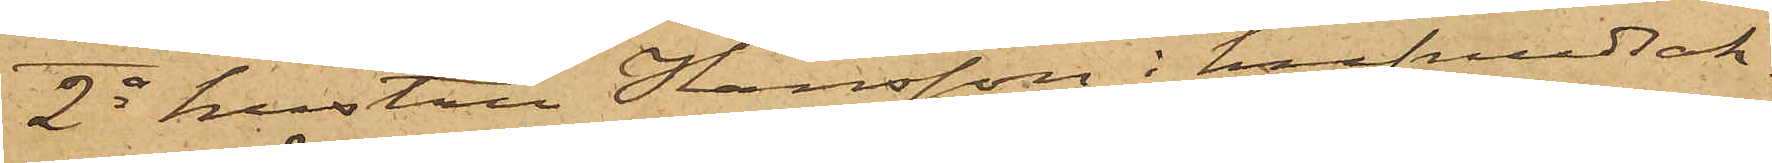2o hustru Hansson i hufvudsak¬
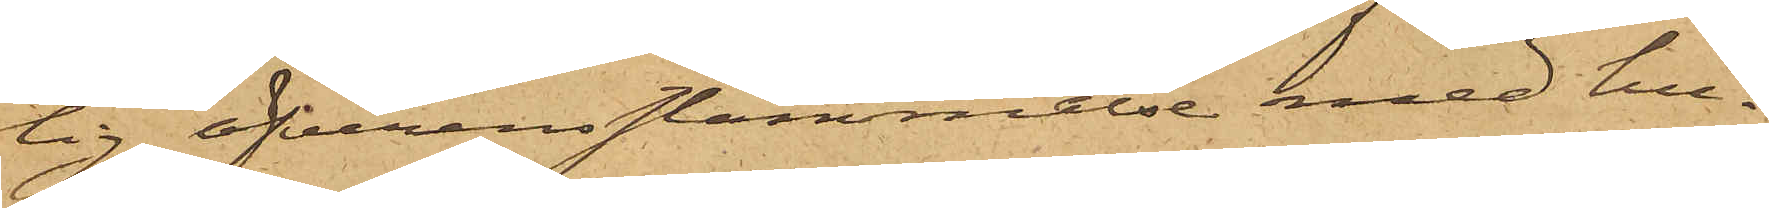lig öfverensstämmelse med hu¬
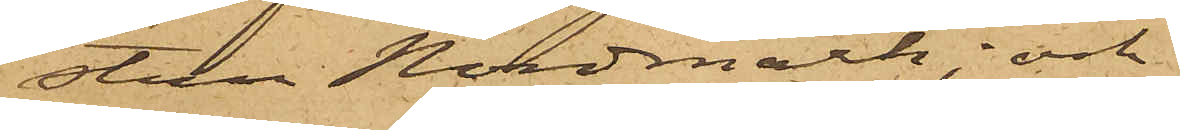stru Nordmark; och
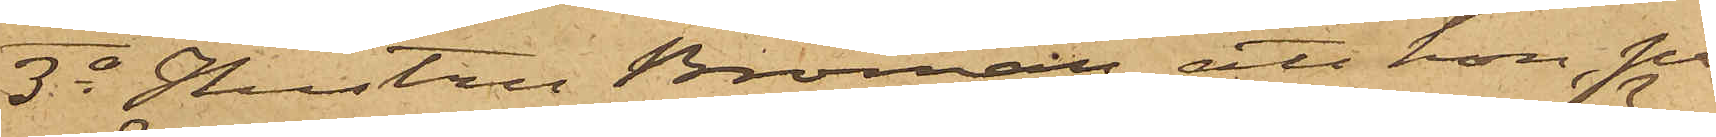3o Hustru Broman att hon, på
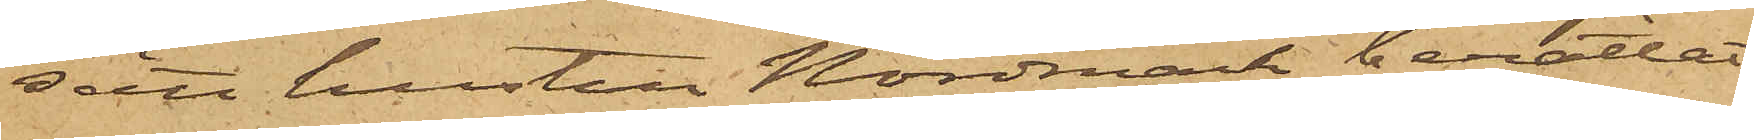sätt hustru Nordmark berättat,
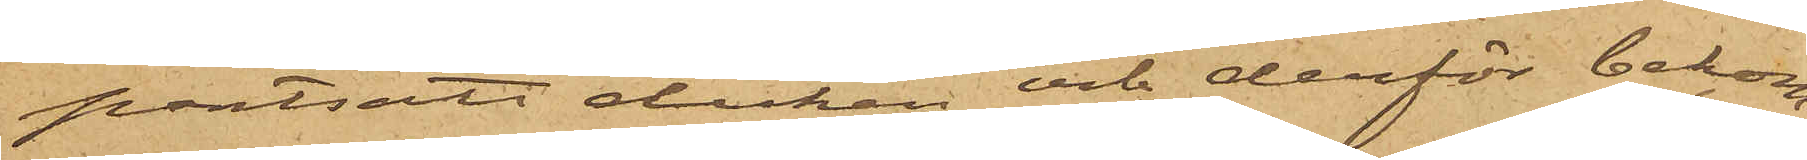pantsatt duken och derför bekom¬
